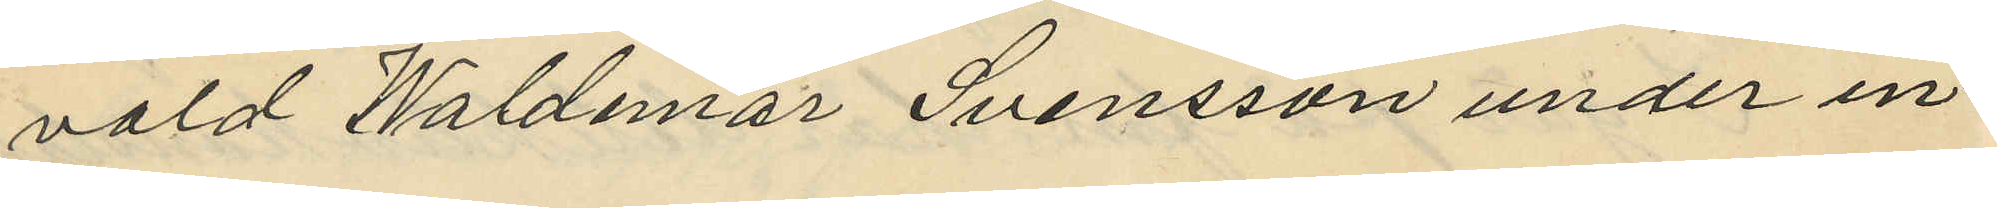vald Waldemar Svensson under in¬
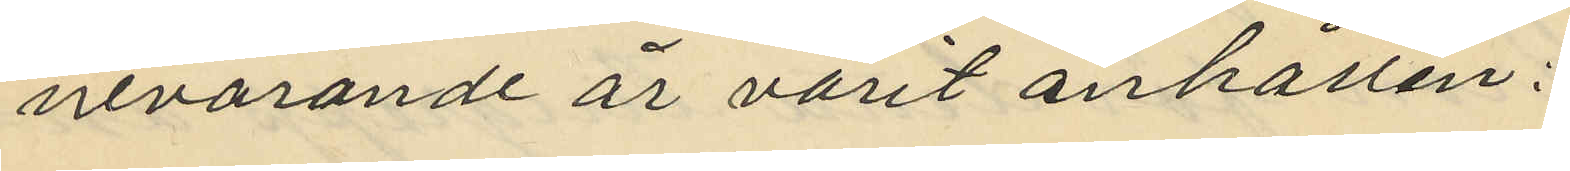nevarande är varit anhållen:
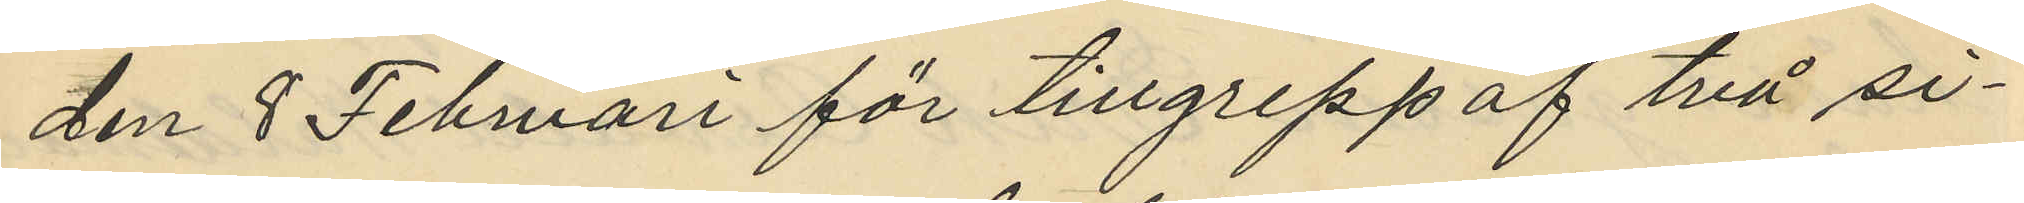den 8 Februari för tillgrepp af två si¬
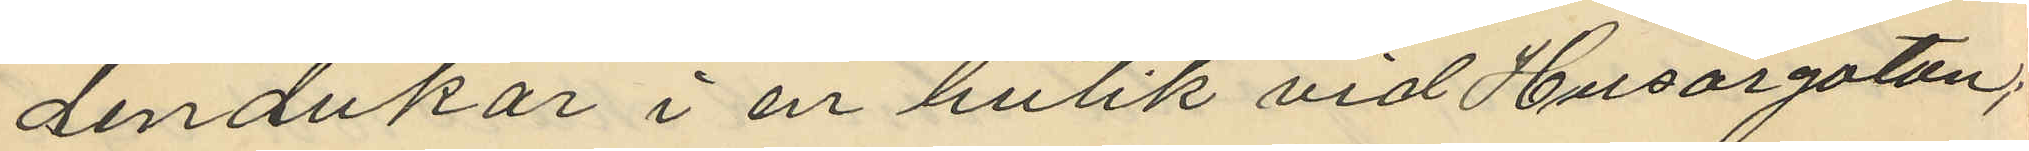dendukar i en butik vid Husargatan;
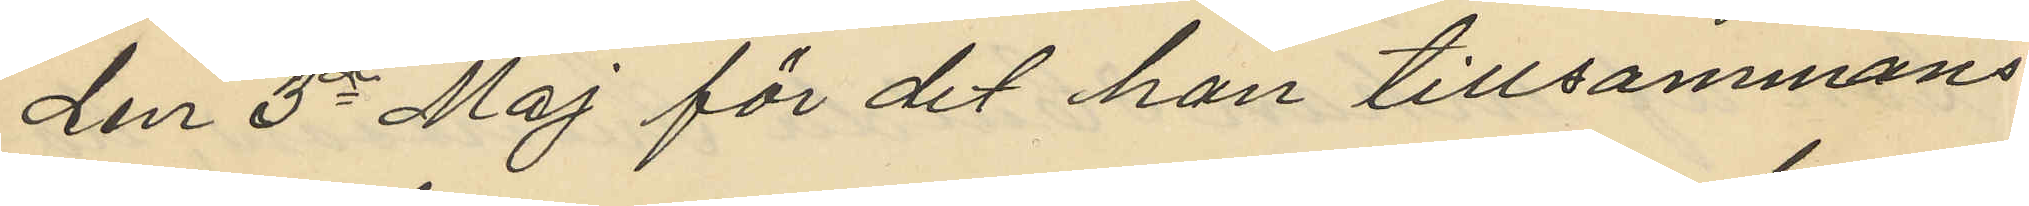den 3e Maj för det han tillsammans
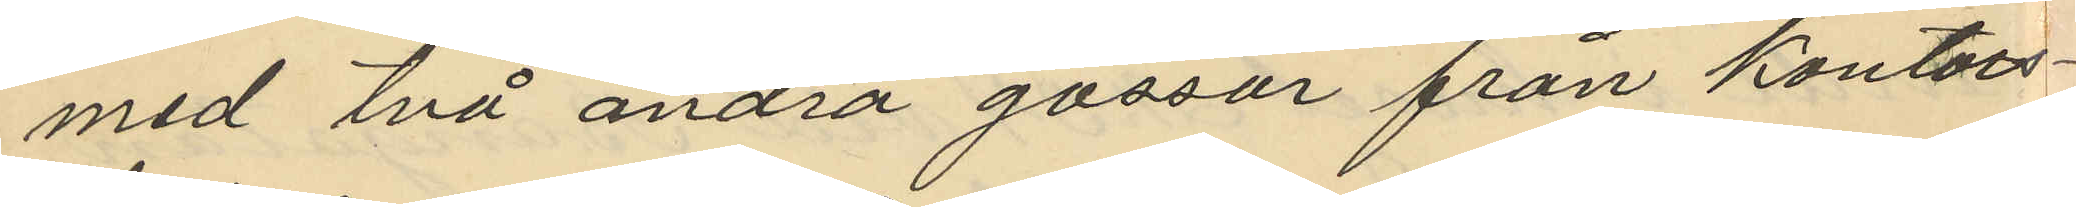med två andra gossar från kontors¬
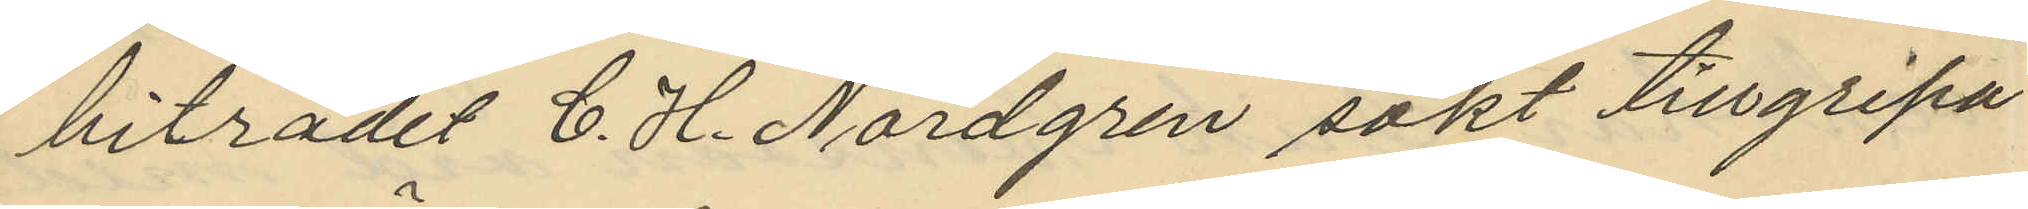biträdet C. H. Nordgren sökt tillgripa
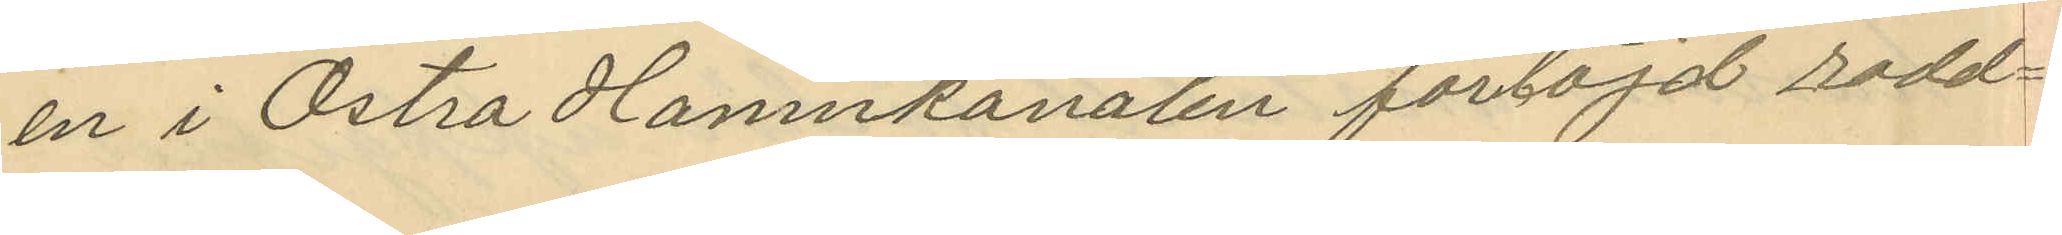en i Östra Hamnkanalen förtöjd rodd¬
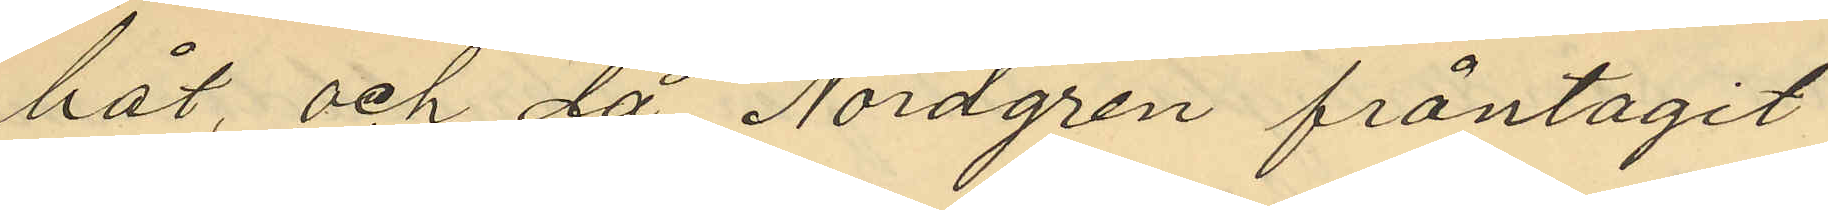båt, och då Nordgren fråntagit
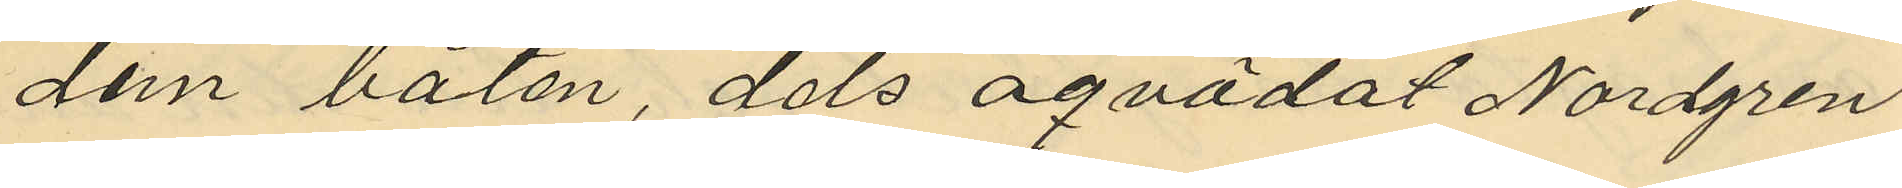dem båten, dels oqvädat Nordgren
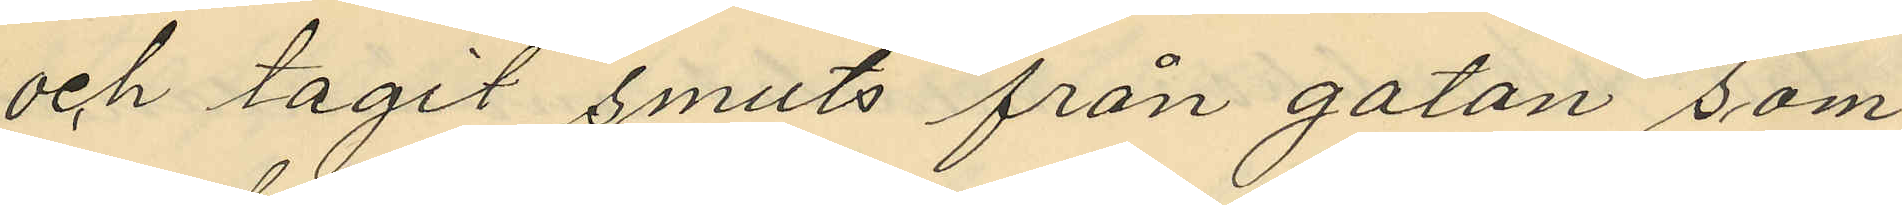och tagit smuts från gatan som
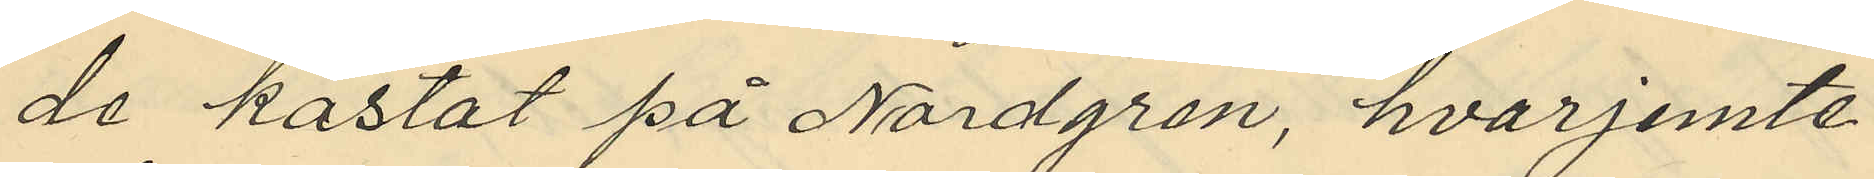de kastat på Nordgren, hvarjemte
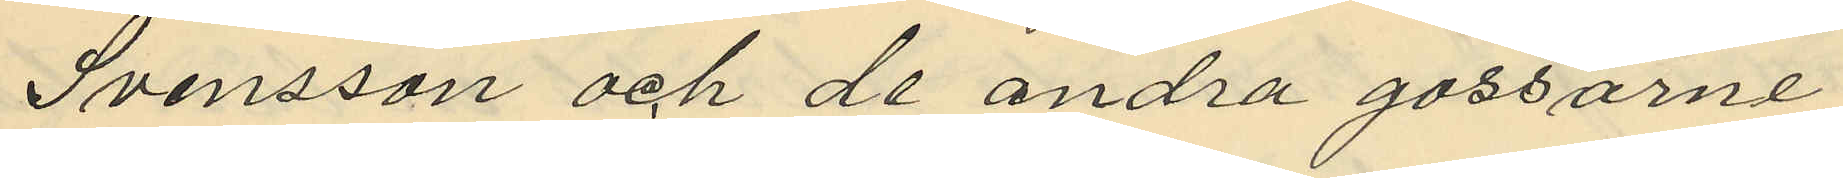Svensson och de andra gossarne
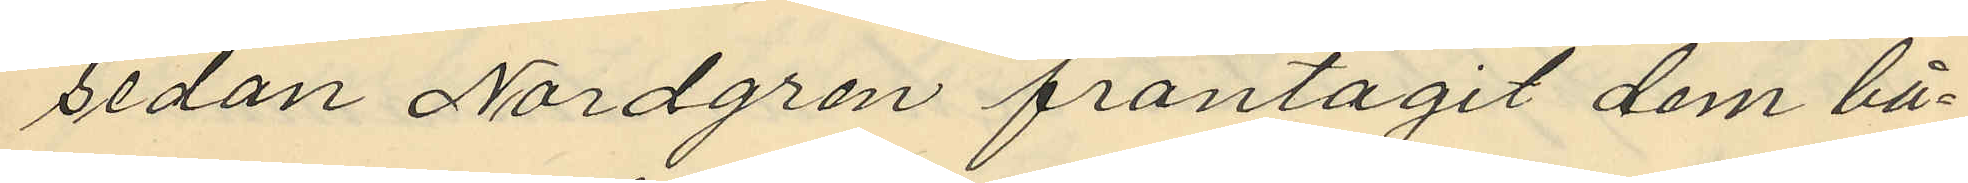sedan Nordgren fråntagit dem bå¬
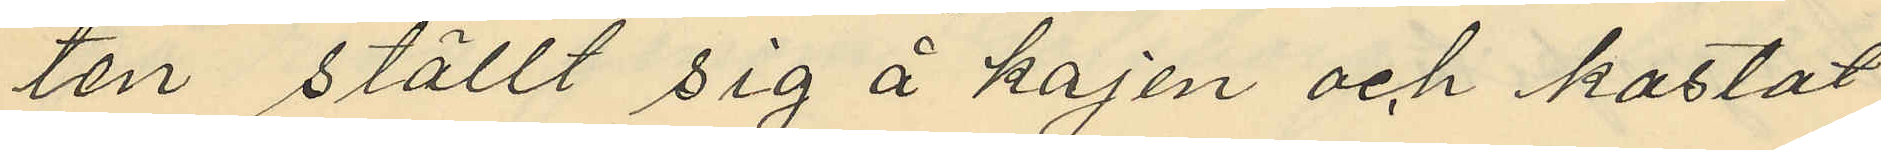ten ställt sig å kajen och kastat
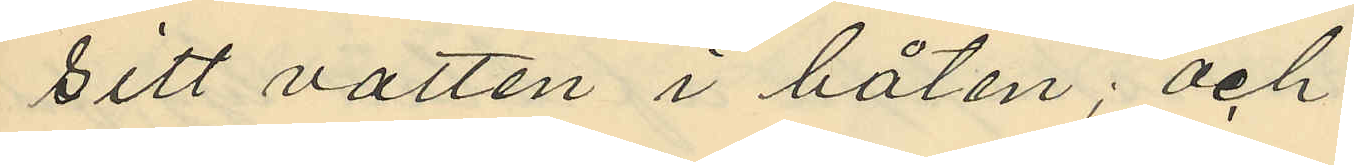sitt vatten i båten; och
